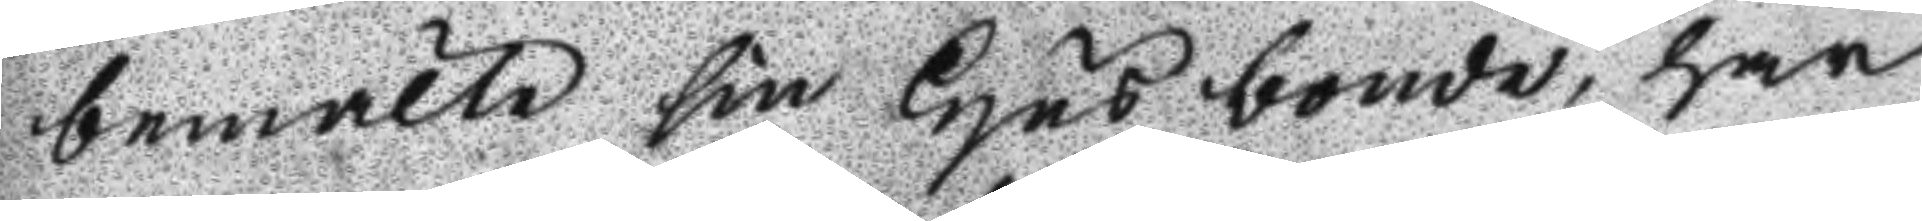bemälte sin Husbonde, har
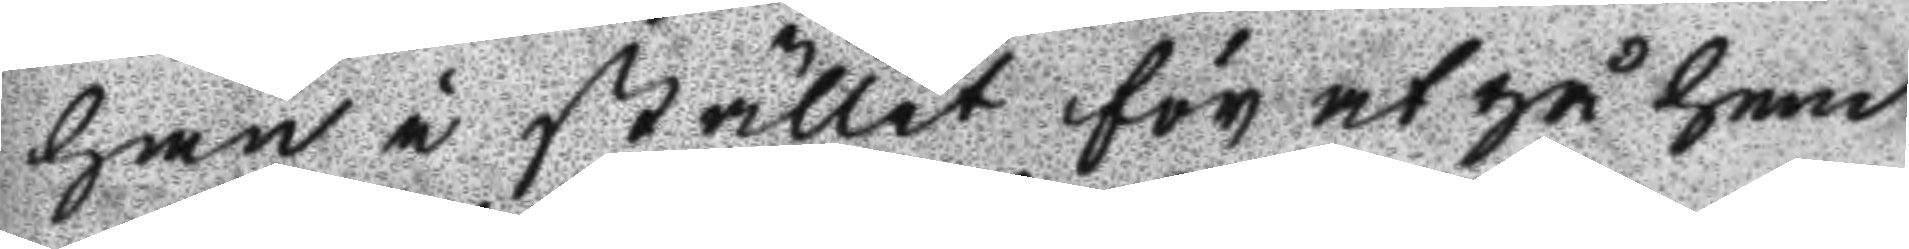han i stället för at gå hem
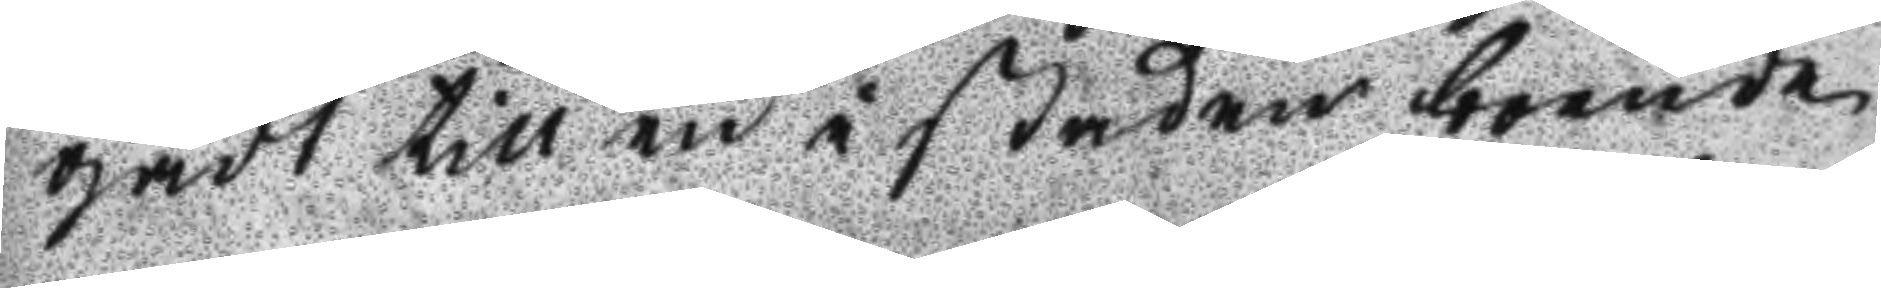gådt till en i staden boende
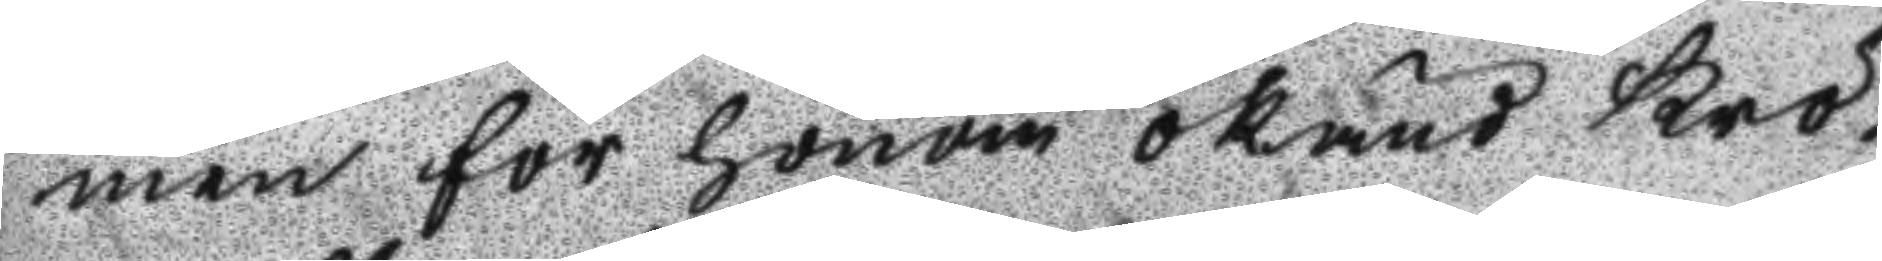men för honom okänd kro¬
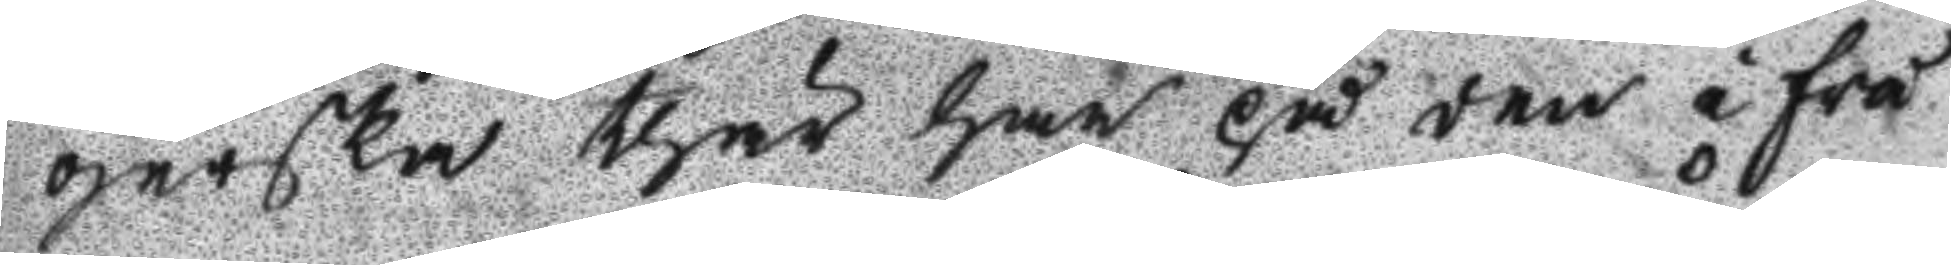gerska thär han på den i frå
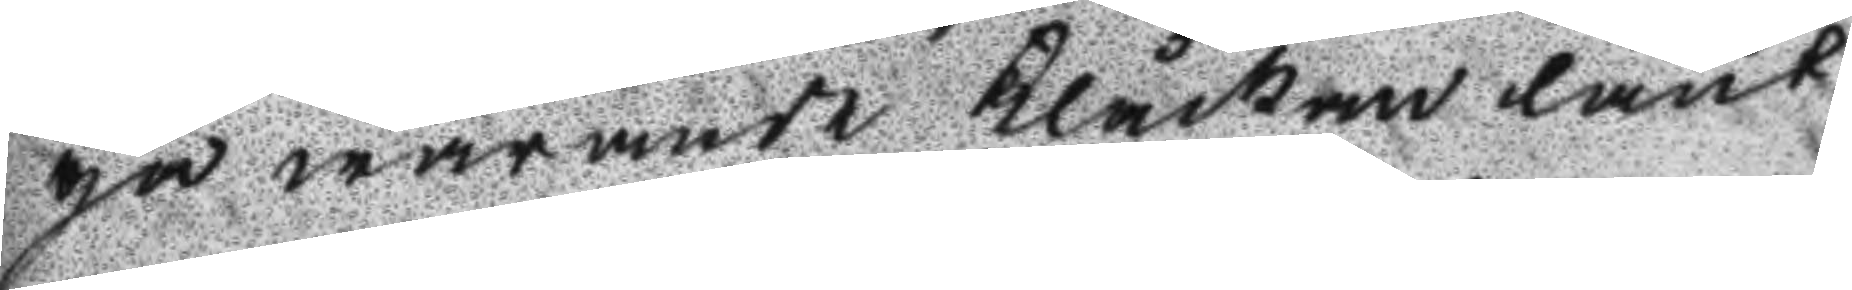ga warande Klåckan lånt
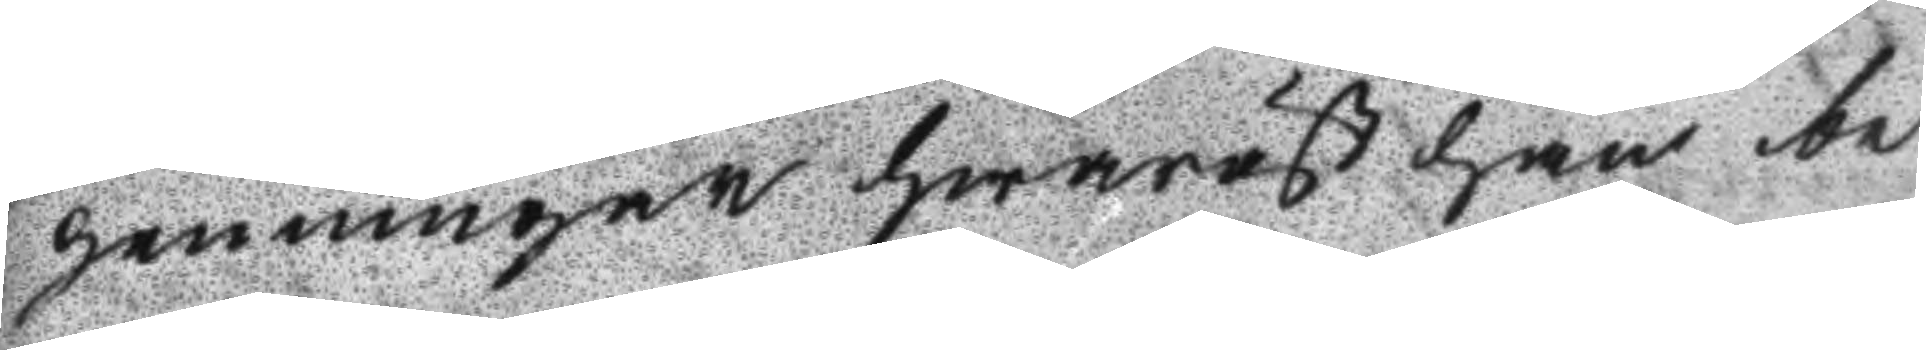penningar hwaräst han be
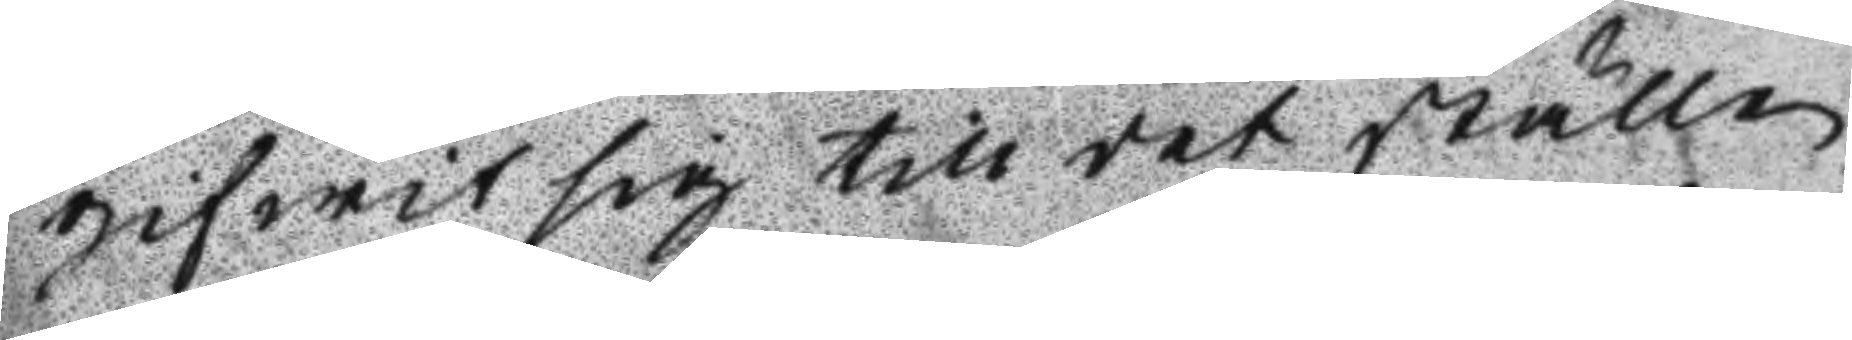gifwit sig till det ställe
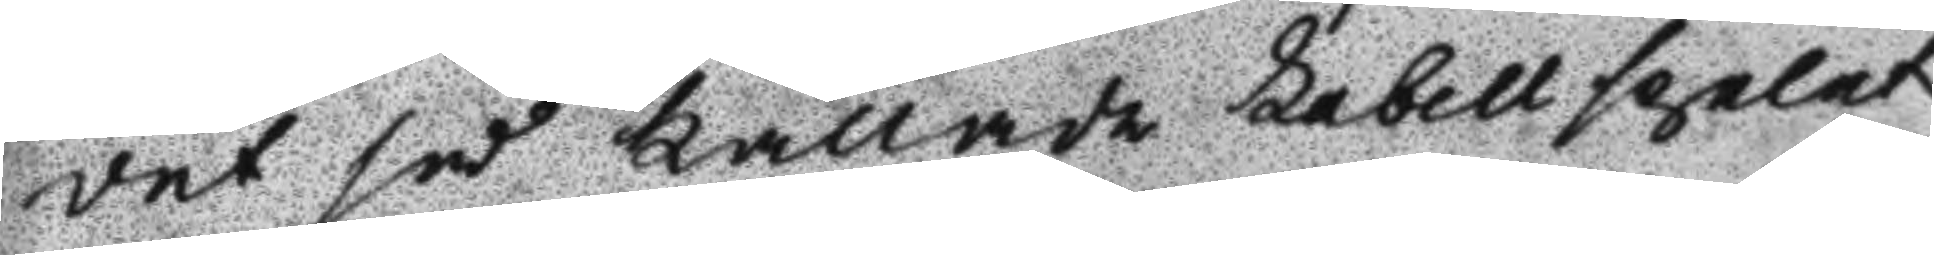det så kallade Labellspelet
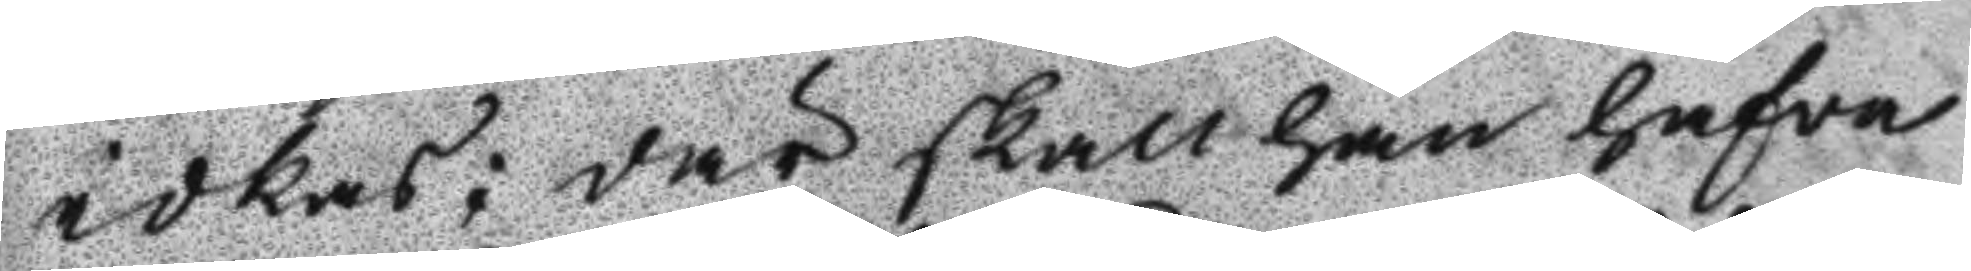idkas; där skall han hafwa
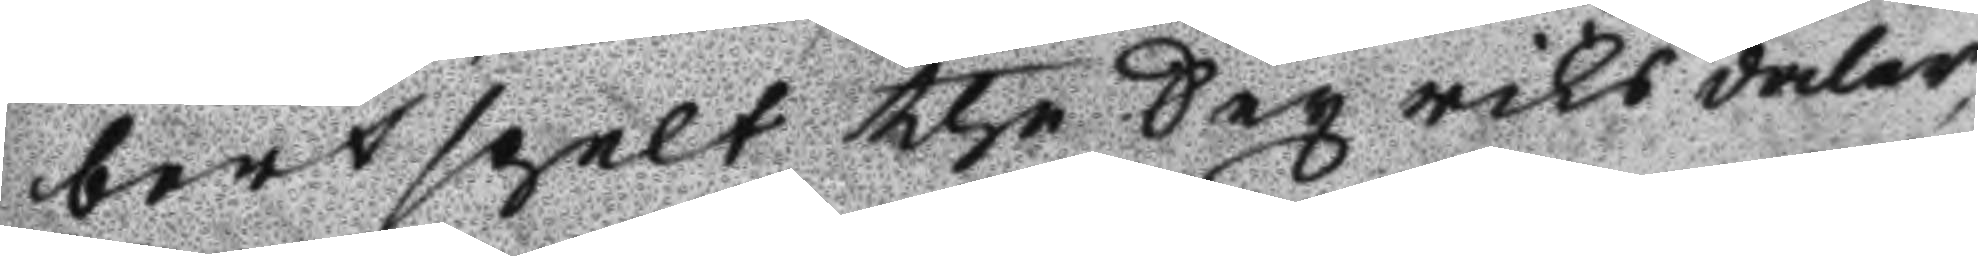bortspelat the Sex riks daler,
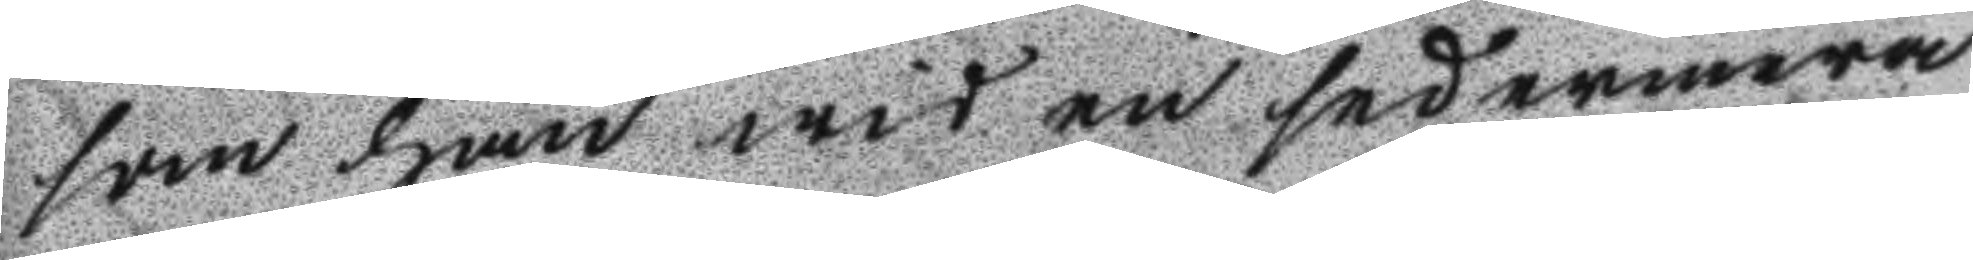som han wid en sedermera
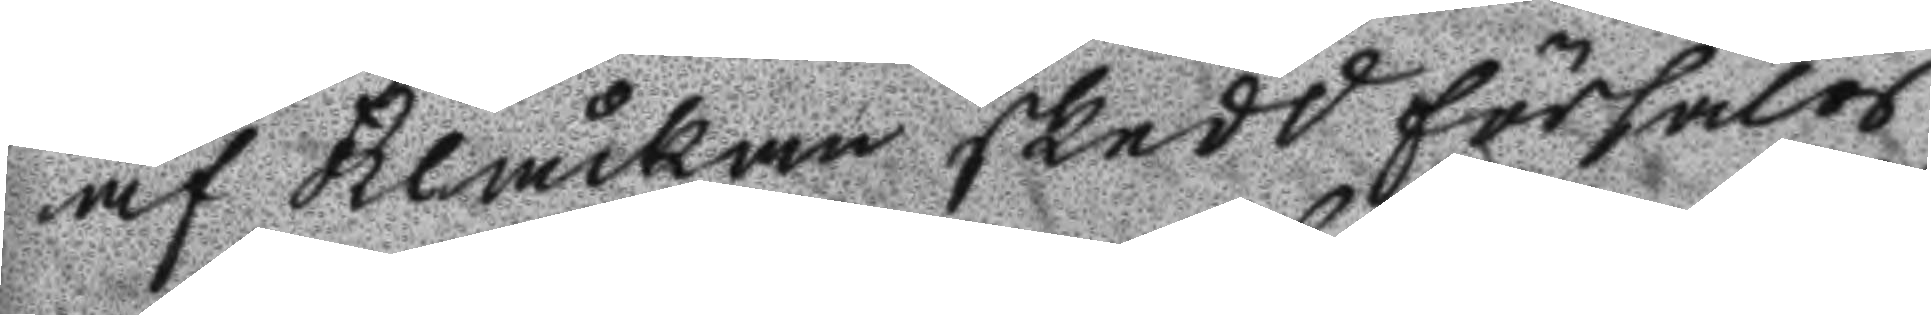af Klåckan skedd skedd försälg
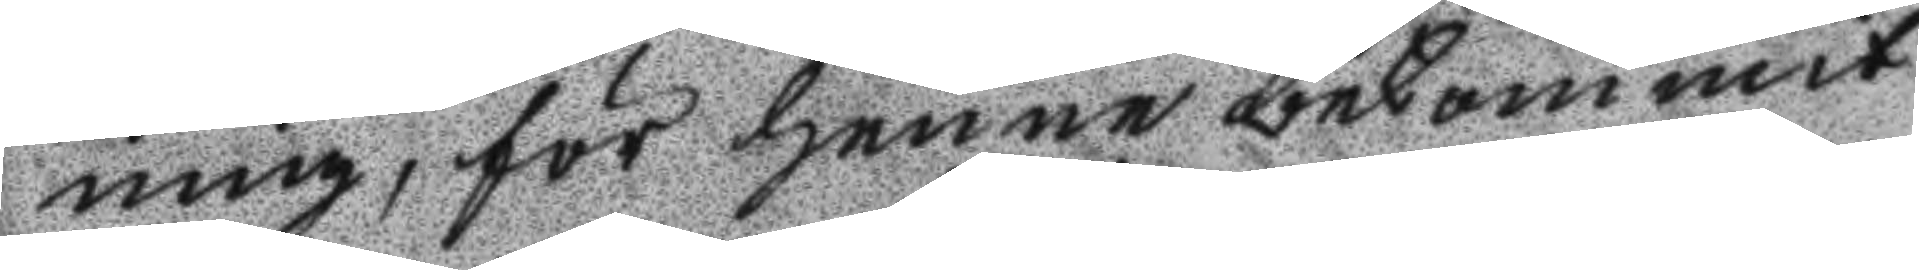ning, för henne bekommit
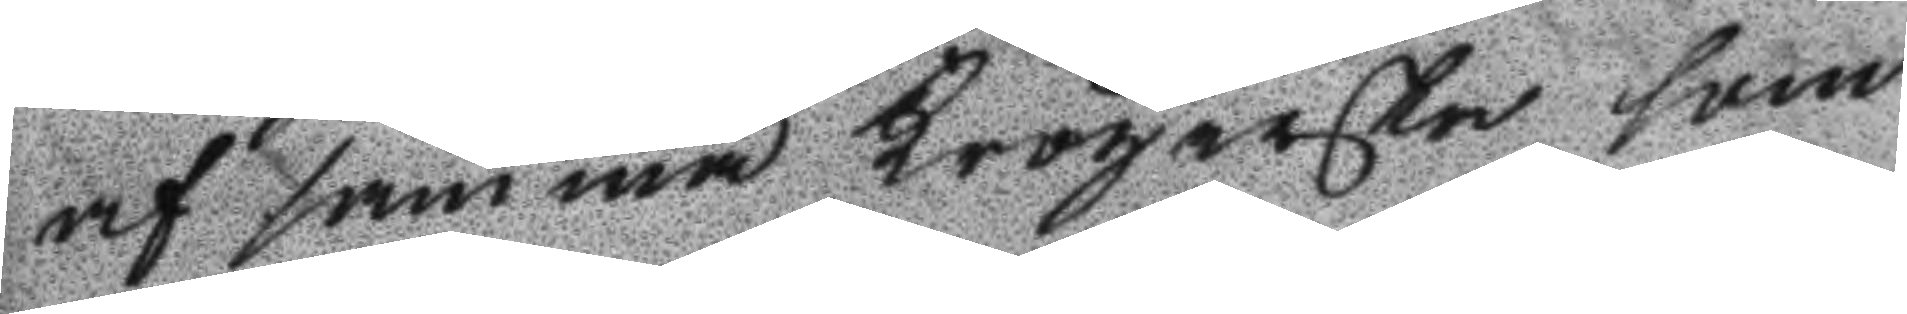af samma Krögerska som
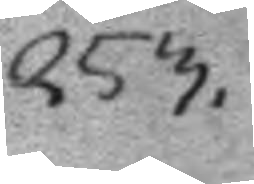253.
